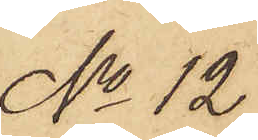No 12
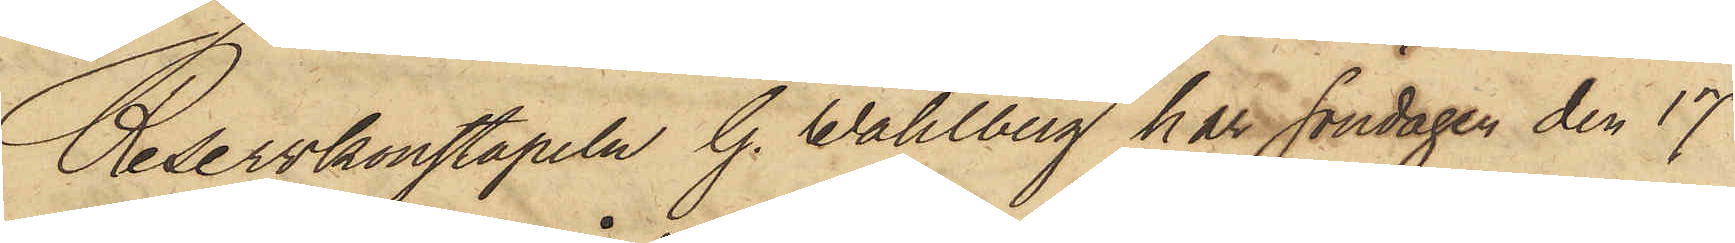Reservkonstapeln G. Wahlberg har Söndagen den 17
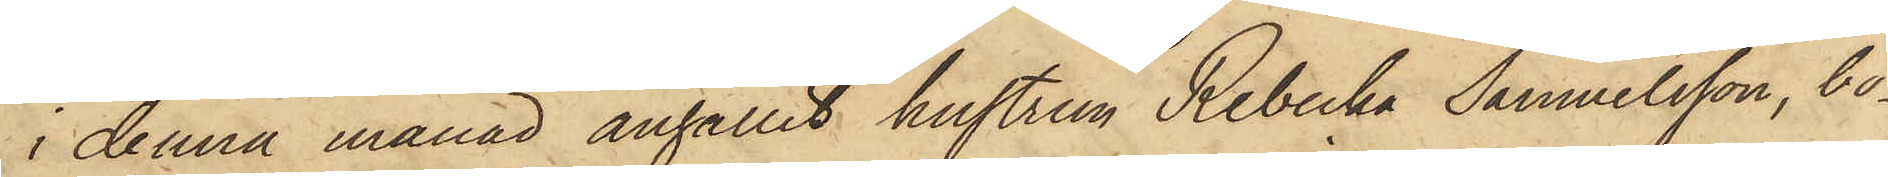i denna månad anhållit hustrun Rebecka Samuelsson, bo¬
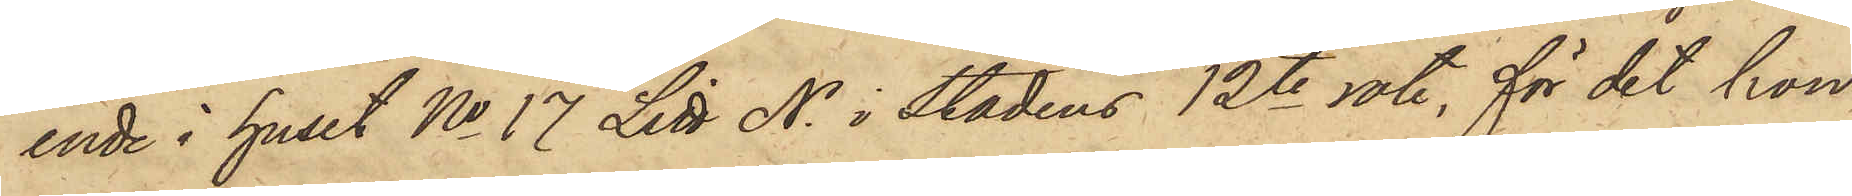ende i huset No 17 Litt N. i Stadens 12te rote, för det hon
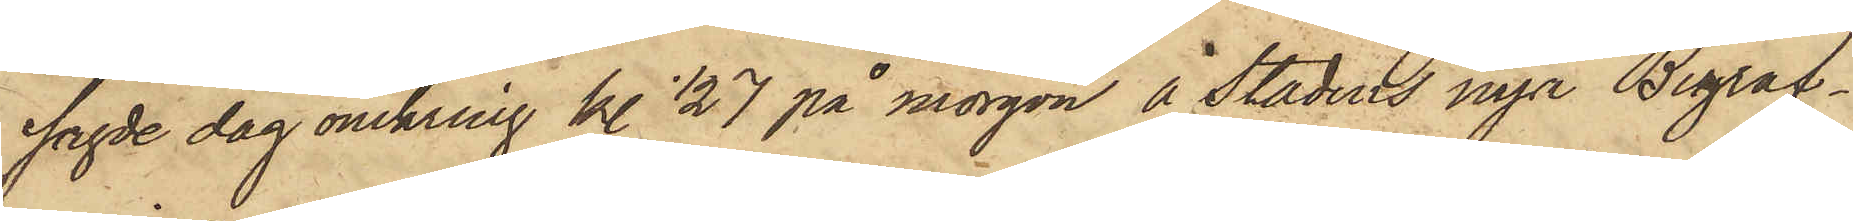sagde dag omkring kl. 1/2 7 på morgon å Stadens nya Begraf¬
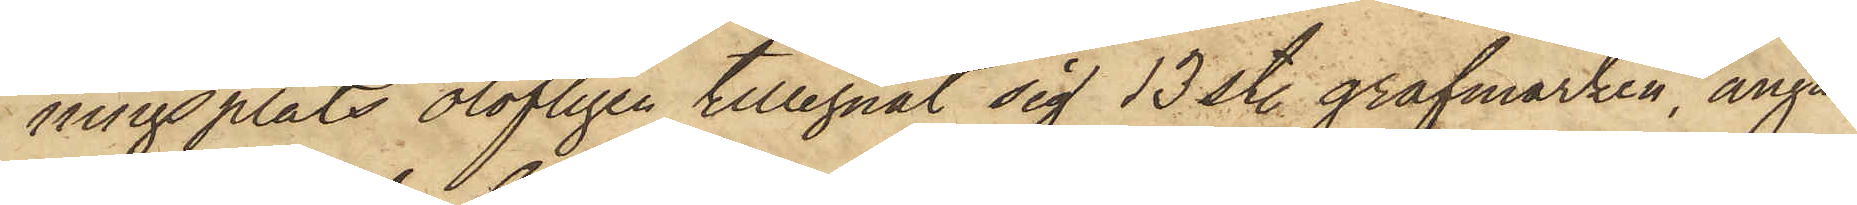nigsplats olofligen tillegnat sig 13 st. grafmärken, angå¬
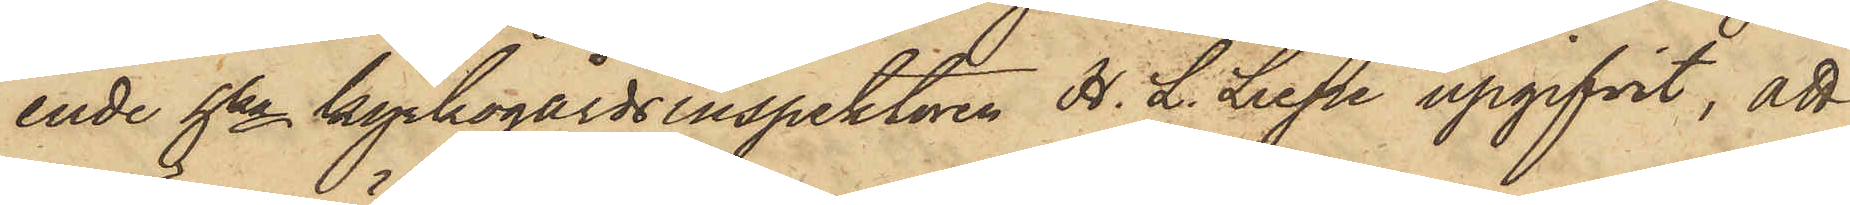ende hka kyrkogårdsinspektoren H. L. Liepe upgifvit, att
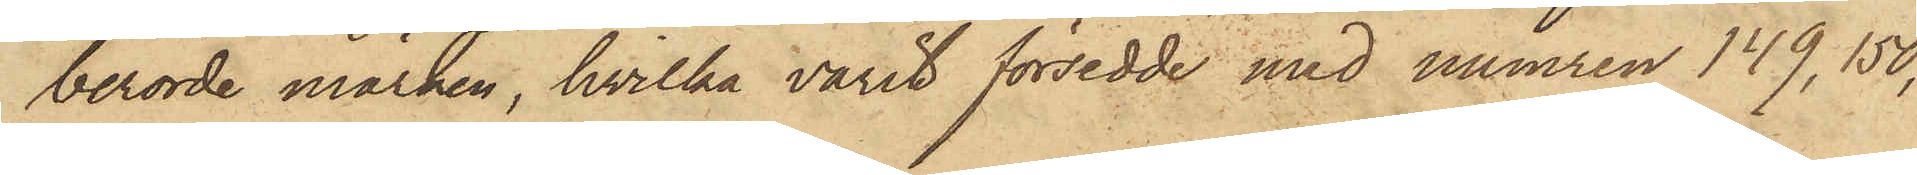berörde märken, hvilka varit försedde med numren 149, 150,
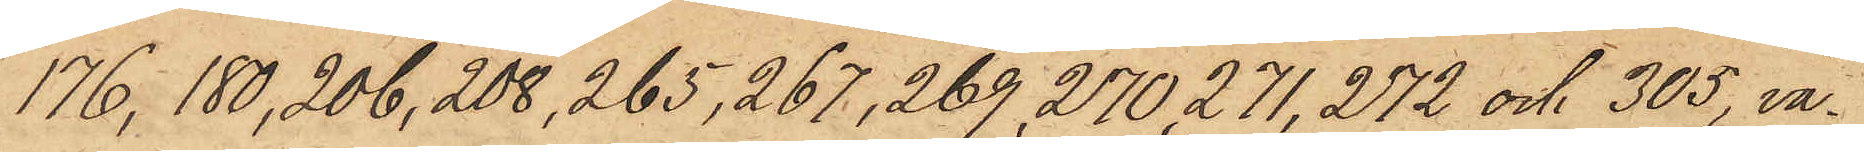176, 180, 206, 208, 265, 267, 269, 270, 271, 272 och 305, va¬
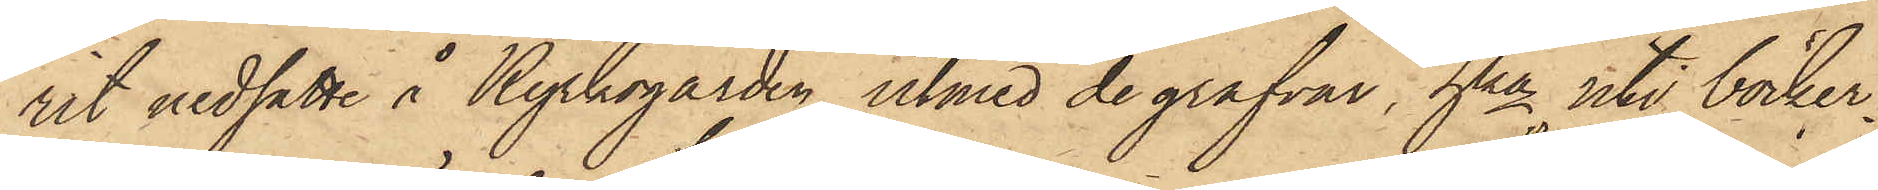rit nedsatte å Kyrkogården utmed de grafvar, hka uti böcker¬
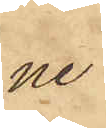ne
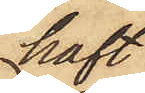haft
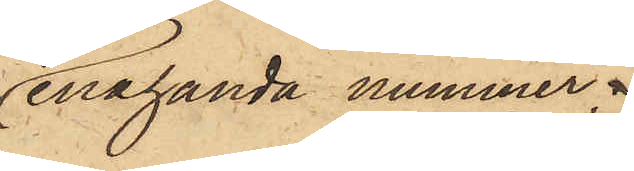enahanda nummer
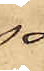så
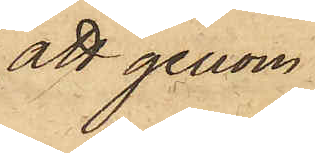att genom
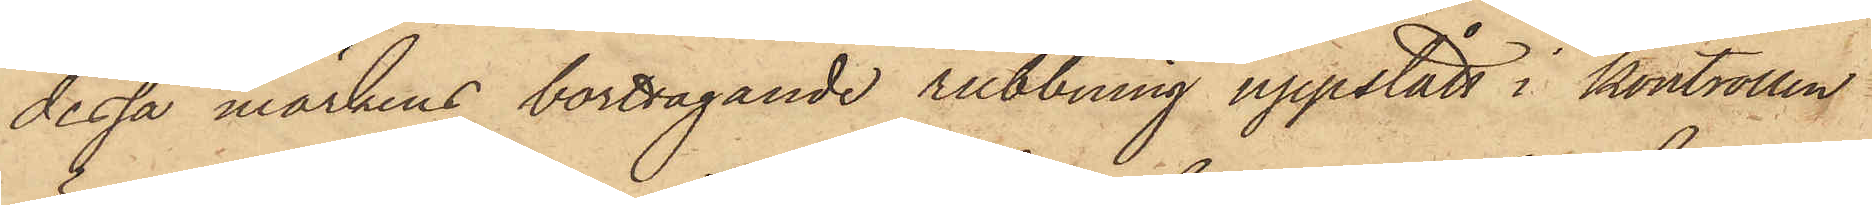dessa märkens borttagande rubbning uppstått i kontrollen
